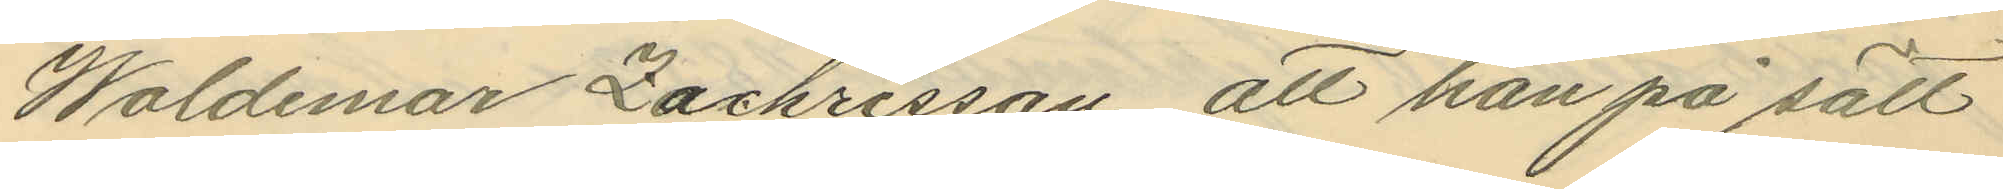Waldemar Zachrisson, att han på sätt
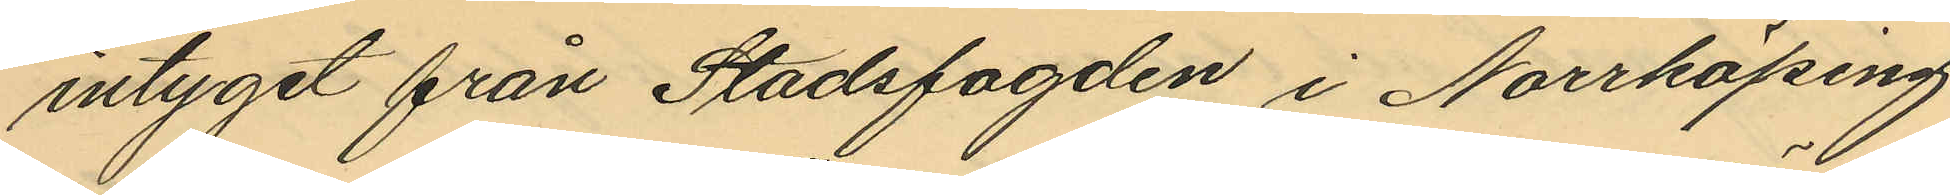intyget från Stadsfogden i Norrköping
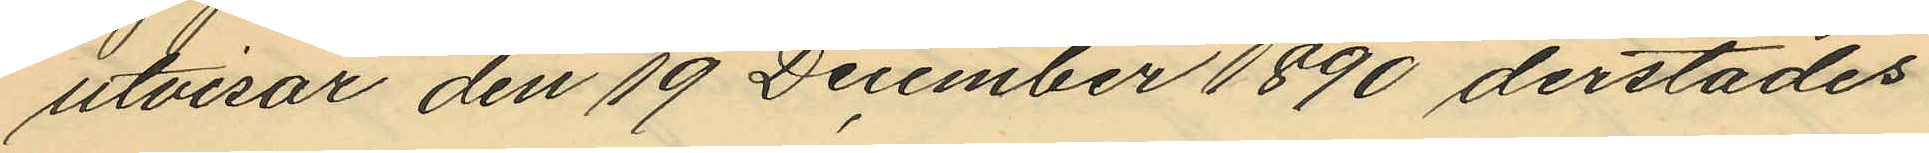utvisar den 19 December 1890 derstädes
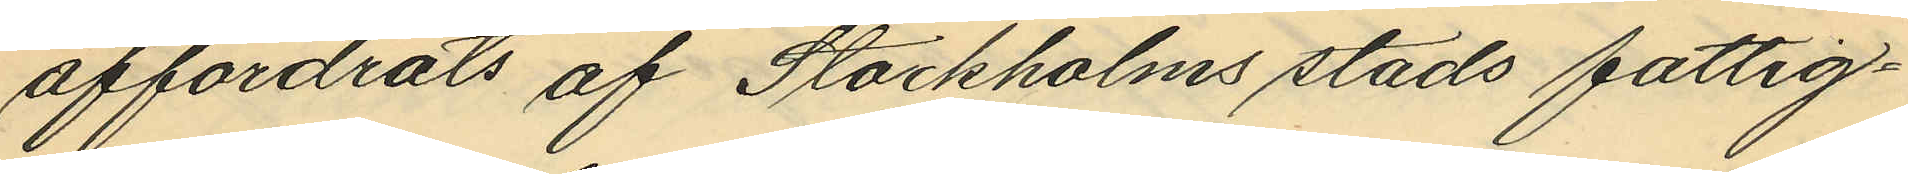affordrats af Stockholms stads fattig¬
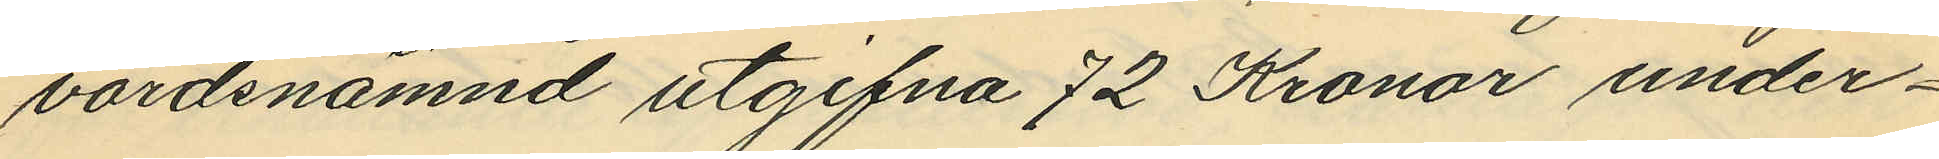vårdsnämnd utgifna 72 Kronor under¬
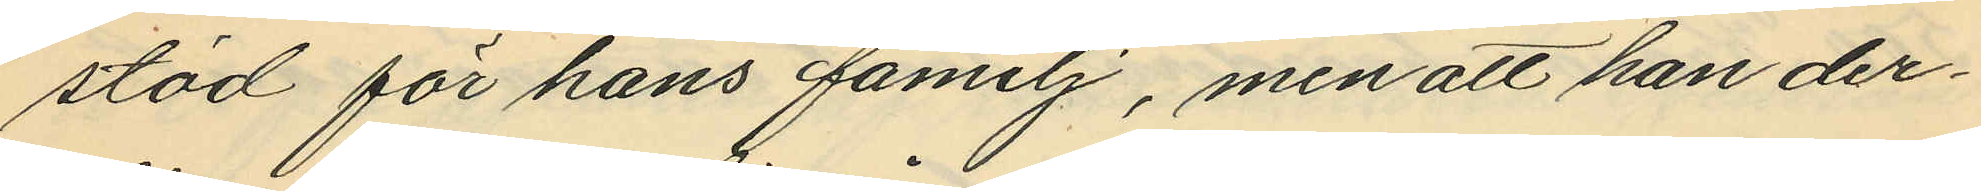stöd för hans familj, men att han der¬
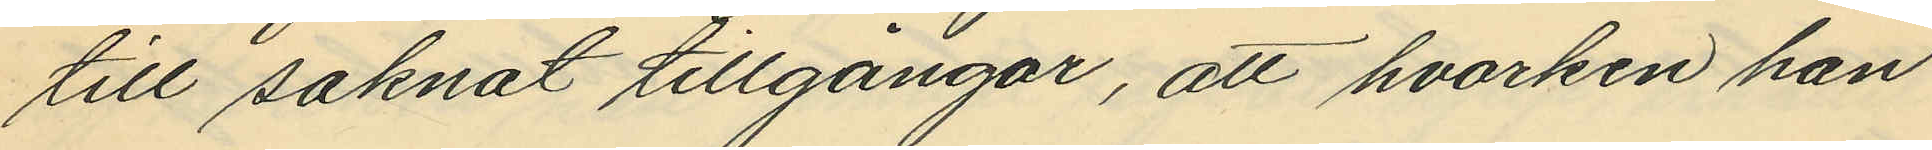till saknat tillgångar, att hvarken han
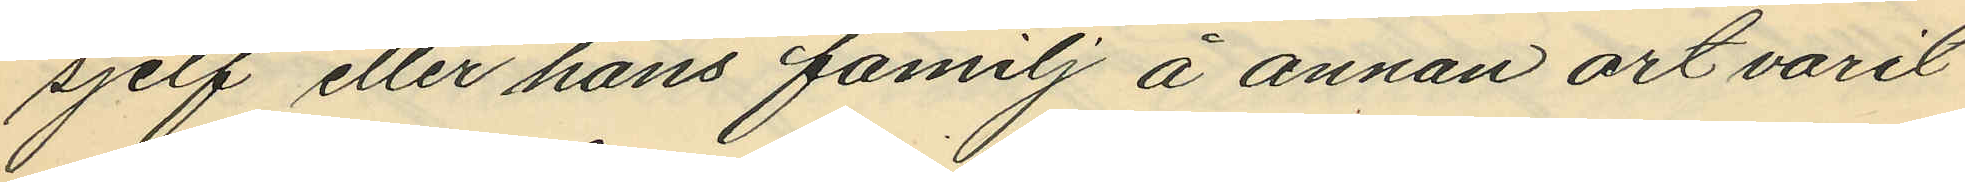sjelf eller hans familj å annan ort varit
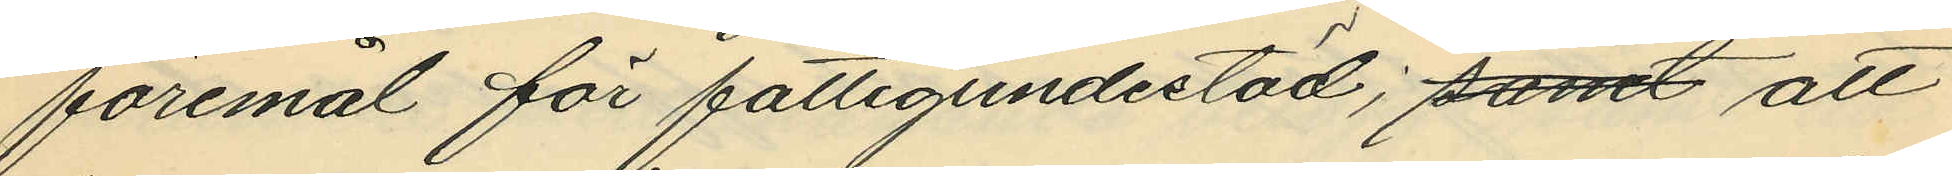föremål för fattigunderstöd; samt att
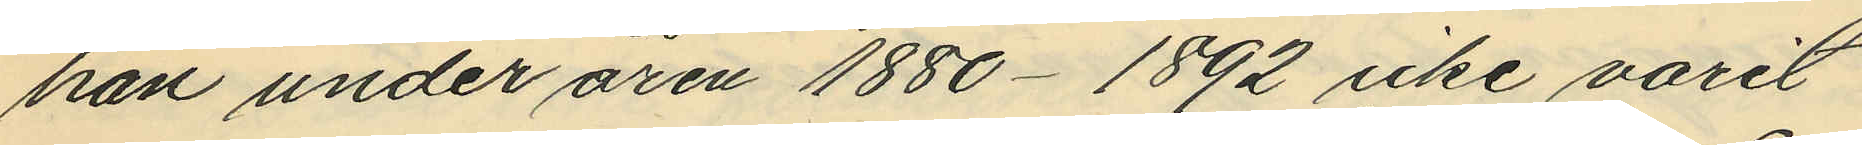han under åren 1880-1892 icke varit
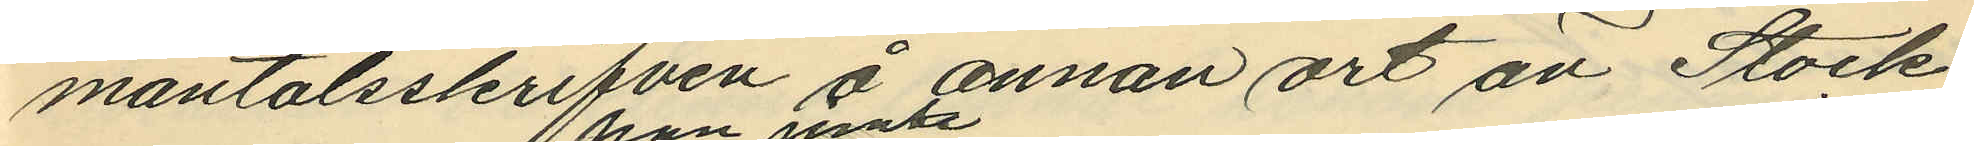mantalsskrifven å annan ort än Stock¬
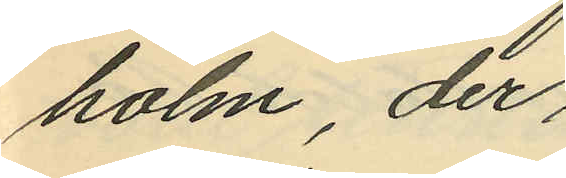holm, der
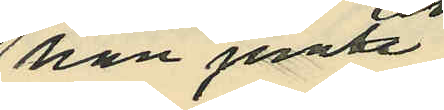han jemte
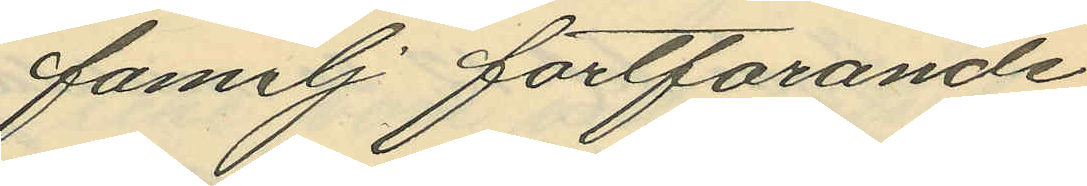familj fortfarande
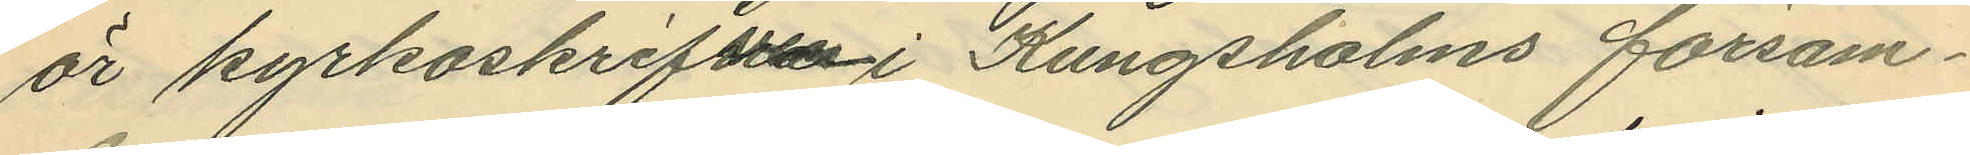är kyrkoskrifvna i Kungsholms försam¬
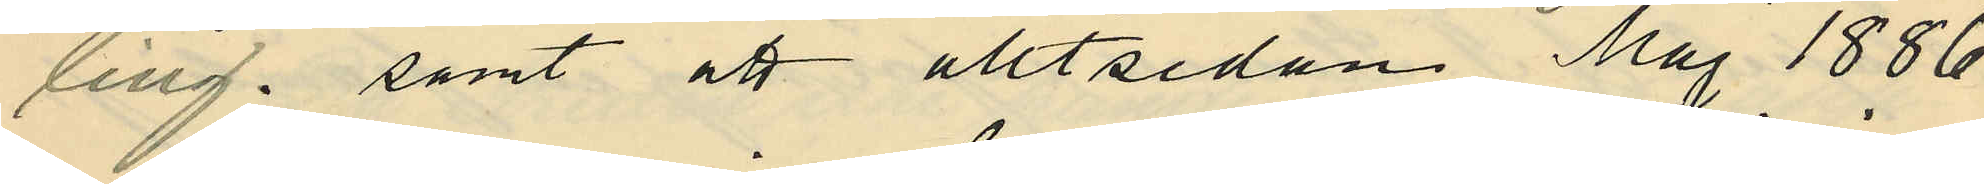ling; samt att alltsedan Maj 1886
